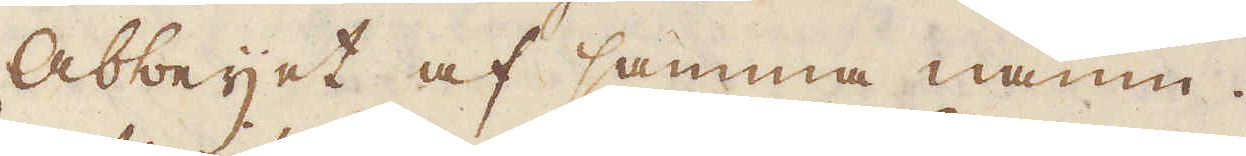Abbeyet af samma namn.
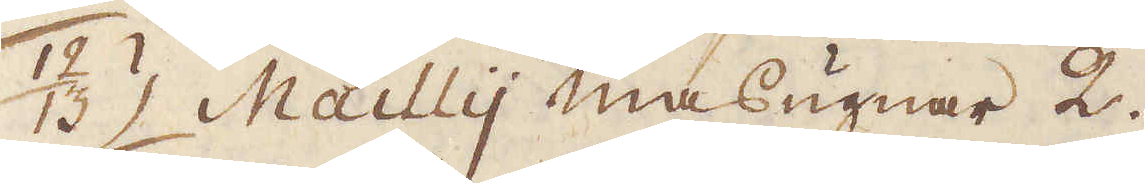12/13 Mailly masugnar 2.
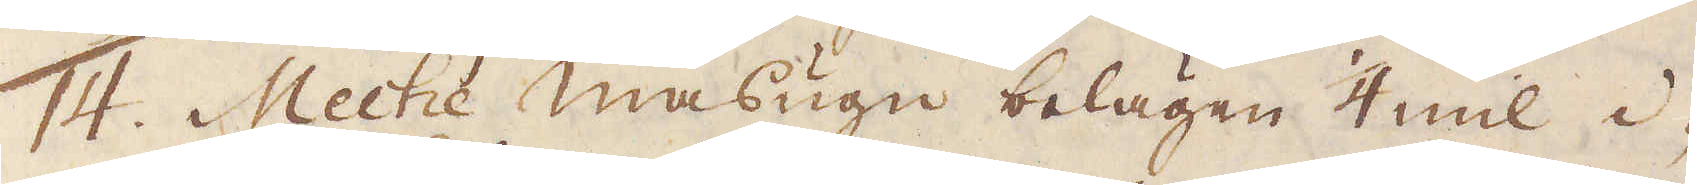14. Meche masugn belägen 1/4 mil i-
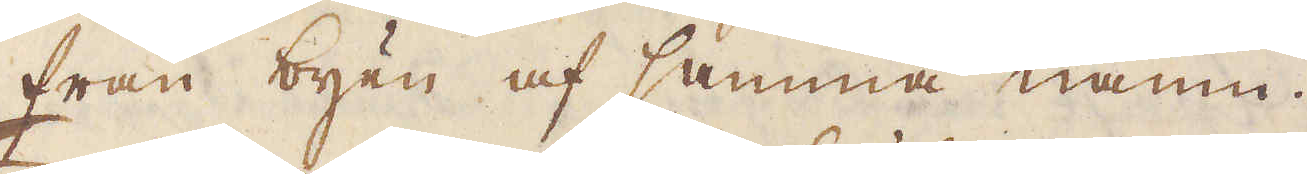från byen af samma namn.
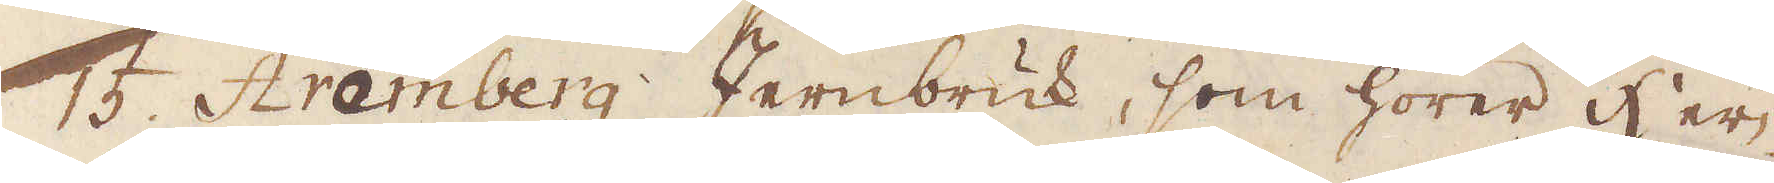15. Aramberg Jernbruk, som hörer her-
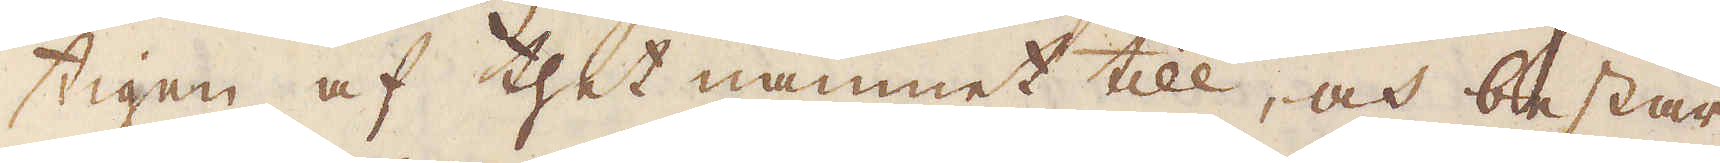tigen af thet namnet till, och består
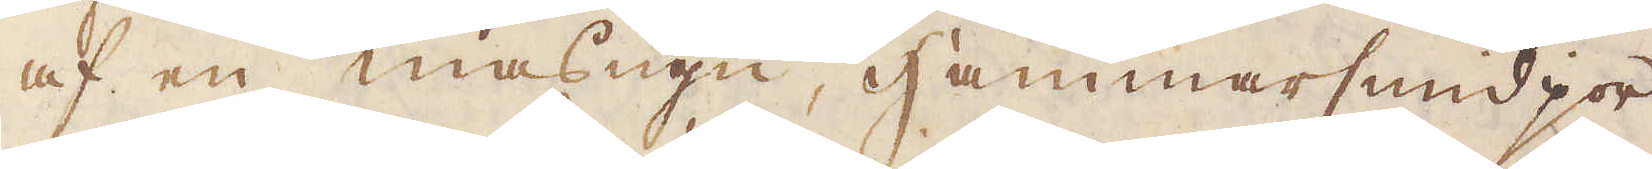af en masugn, hammarsmidjor
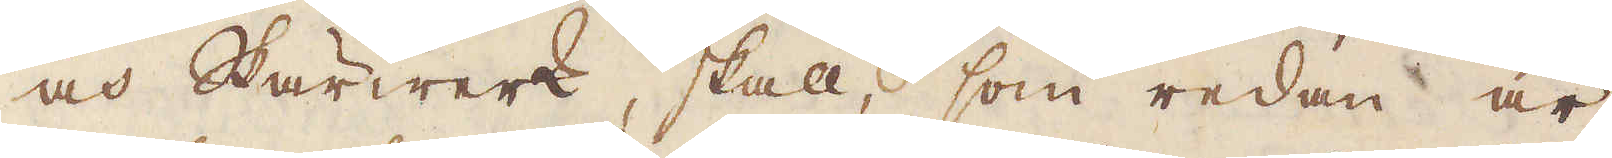och Skärwerk, skall, som redan är
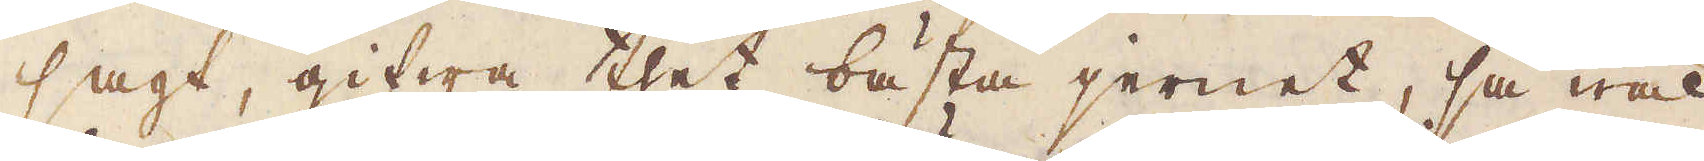sagt, gifwa thet bästa jernet, så wäl
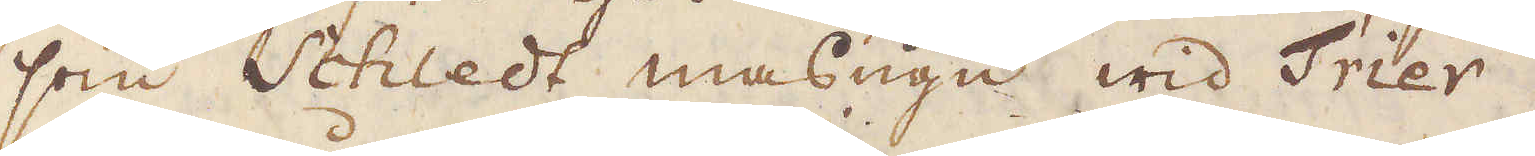som Schledt masugn wid Frier.
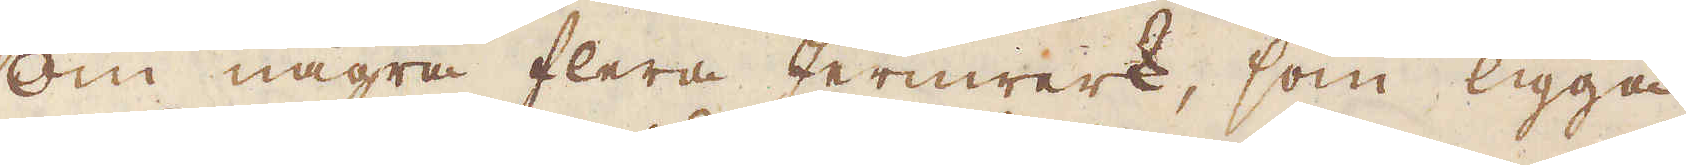Om några flera Jernerk, som ligga
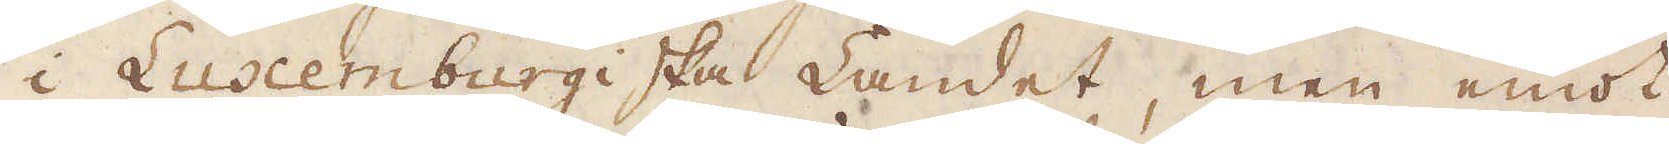i Luxemburgiska Landet men emot
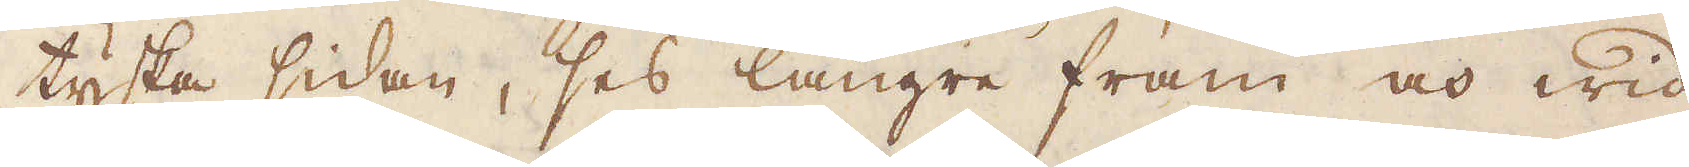tyska sidan, ses längre fram och wid
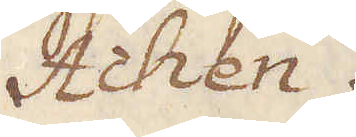Achen.
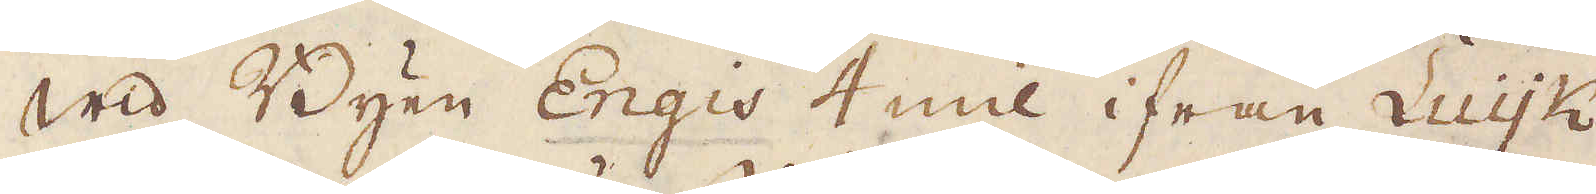Wid Byen Engis 4 mil ifrån Luyk
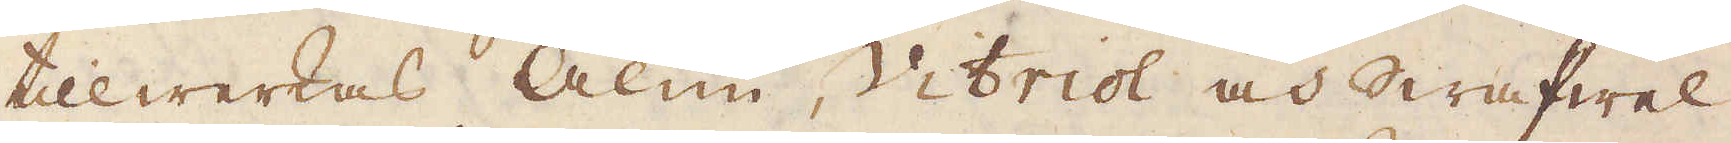tillwerkas Alun, Vitriol och Swafwel.
